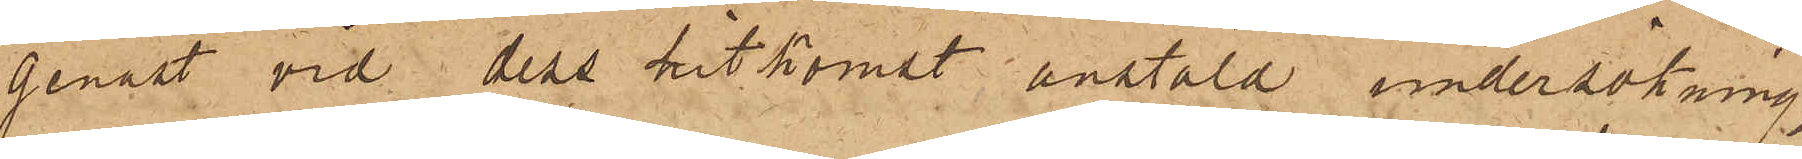genast vid dess hitkomst anstäld undersökning,
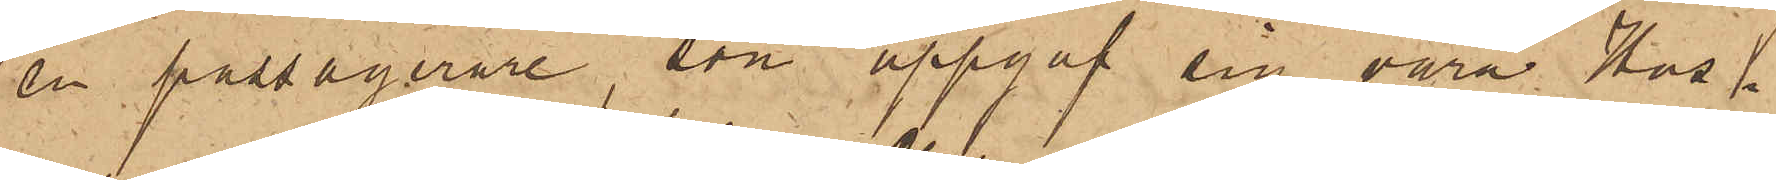en passagerare, som uppgaf sig vara Hus¬
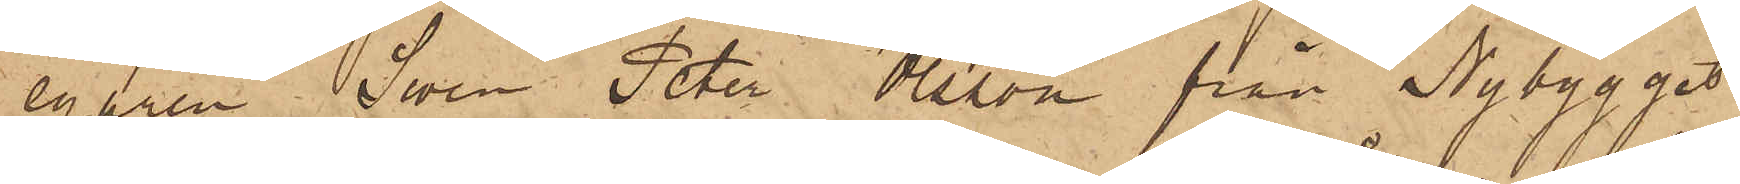egaren Swen Peter Olsson från Nybygget
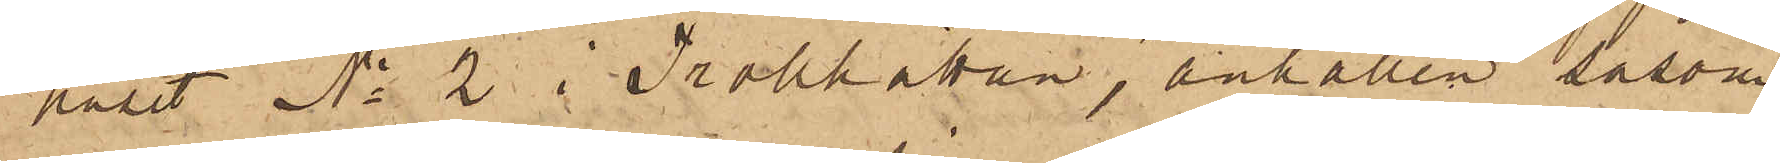huset No 2 i Trollhättan, anhållen såsom
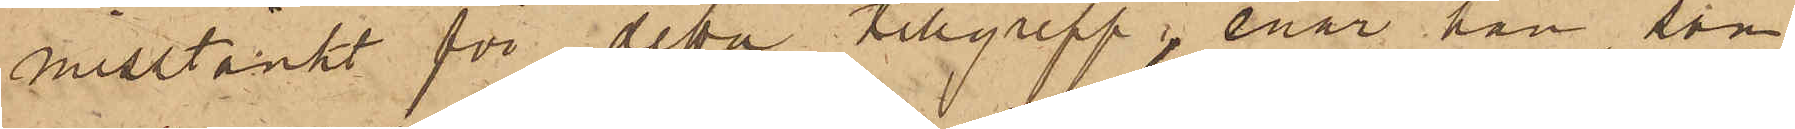misstänkt för detta tillgrepp, enär han, som
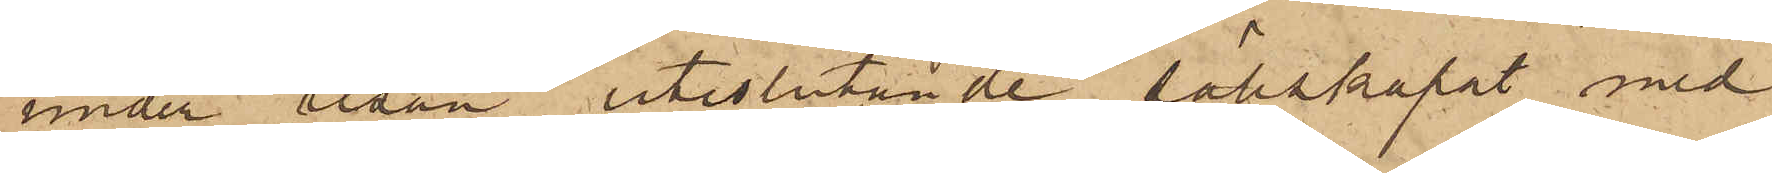under resan uteslutande sällskapat med
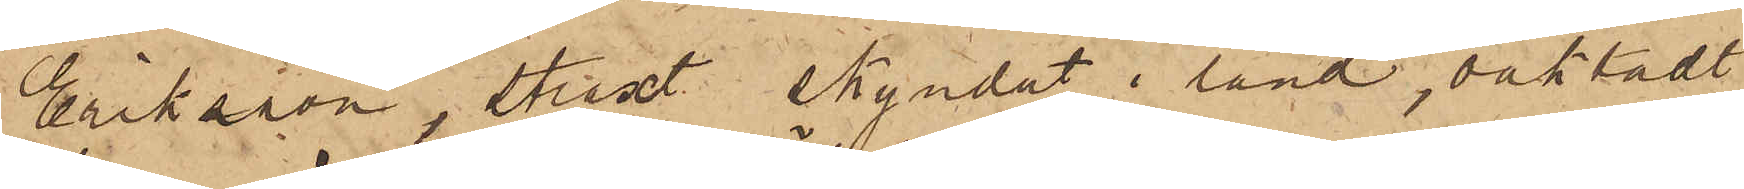Eriksson, straxt skyndat i land, oaktadt
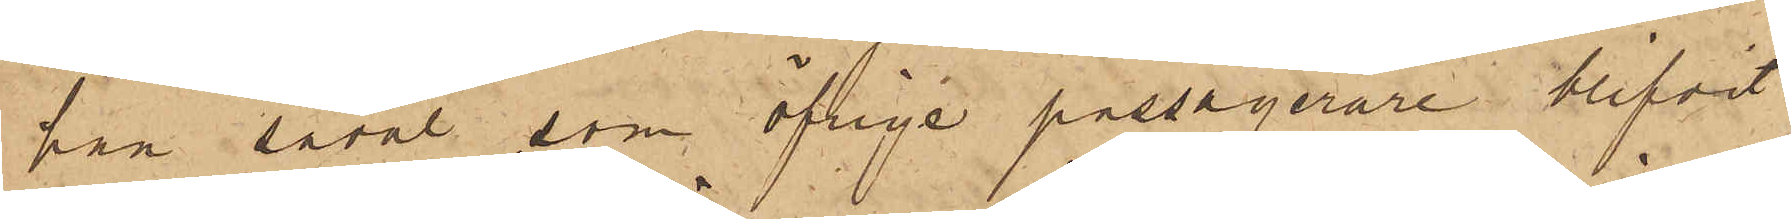han såväl som öfriga passagerare blifvit
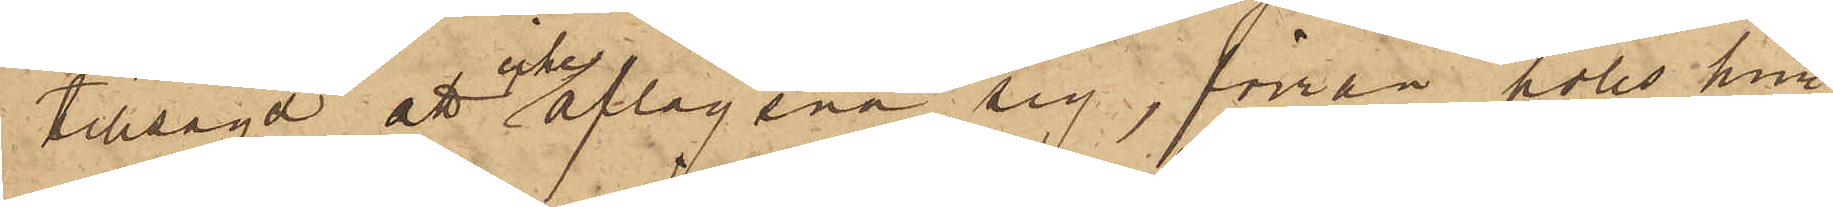tillsagd att icke aflägsna sig, förrän polis hun¬
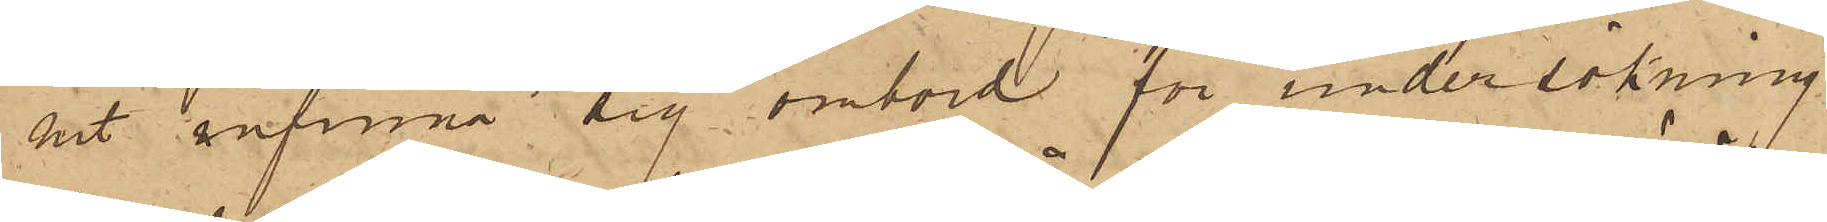nit infinna sig ombord för undersökning
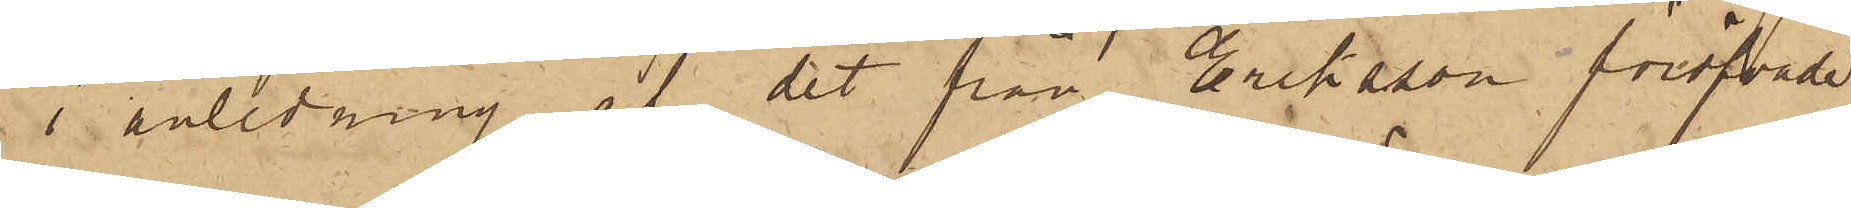i anledning af det från Eriksson föröfvade
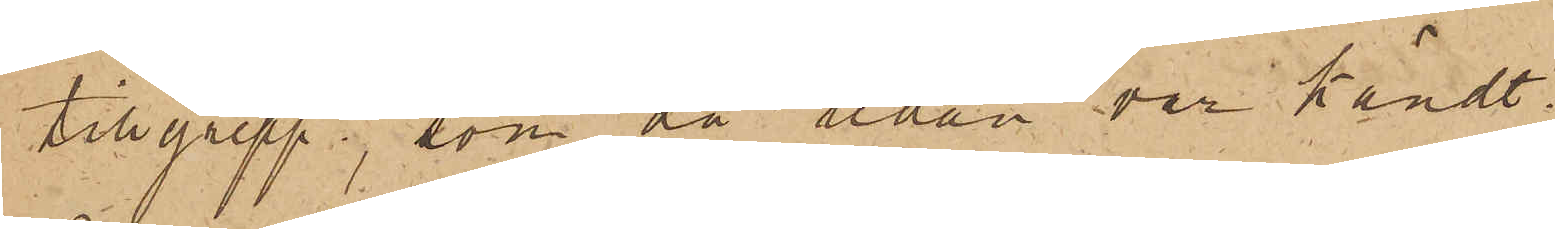tillgrepp, som då redan var kändt.
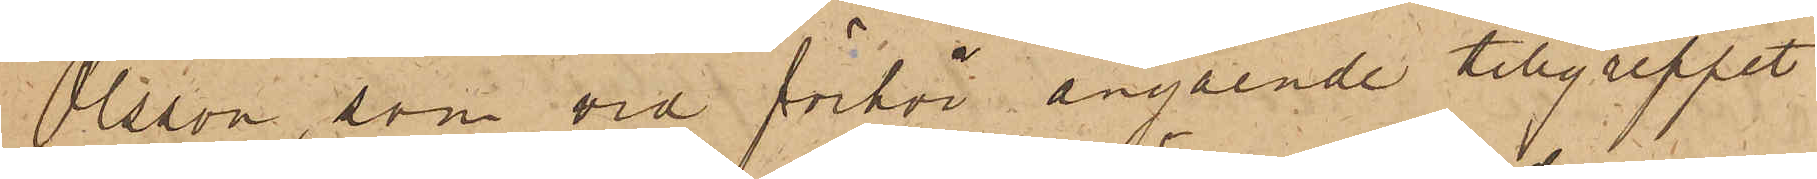Olsson, som vid förhör angående tillgreppet
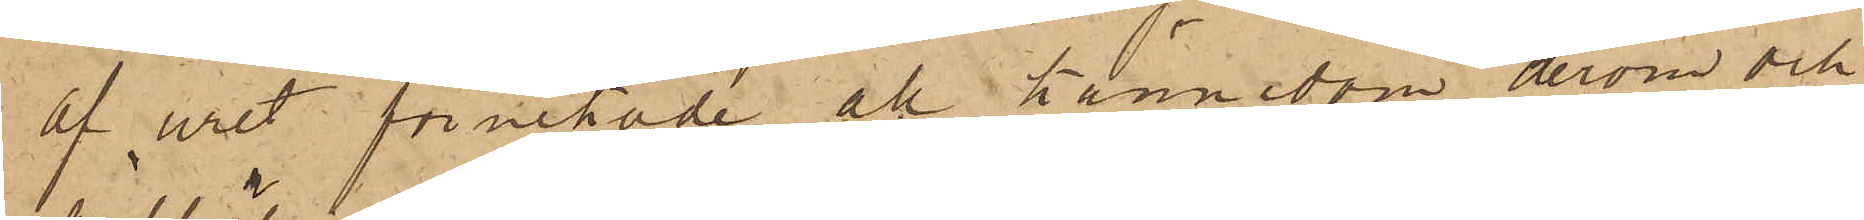af uret förnekade all kännedom derom och
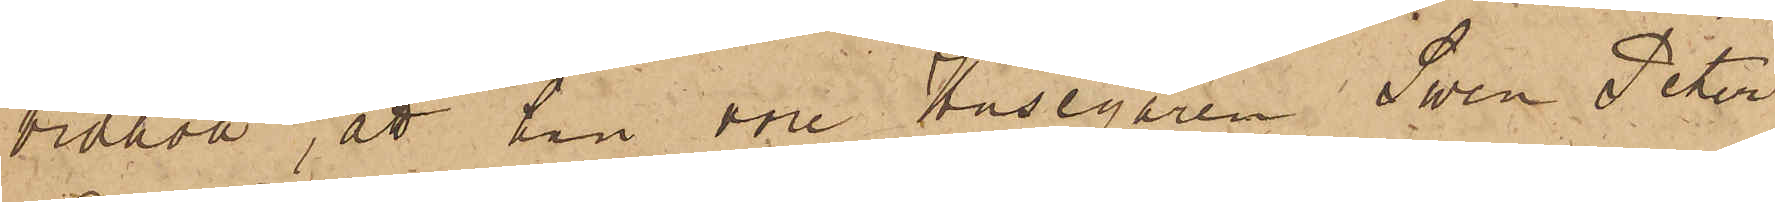vidhöll, att han vore Husegaren Sven Peter
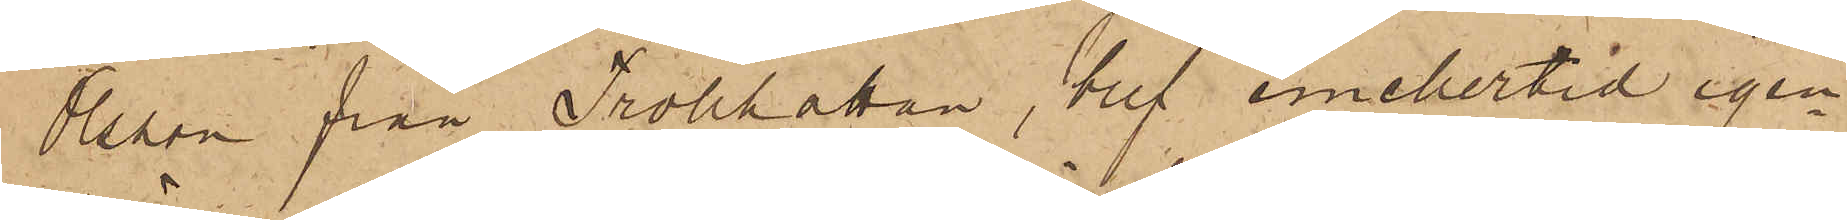Olsson från Trollhättan, blef emellertid igen¬
